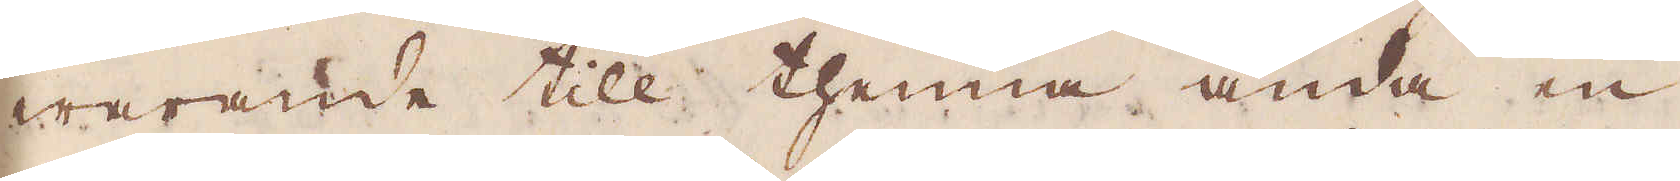warande till thenna ända en
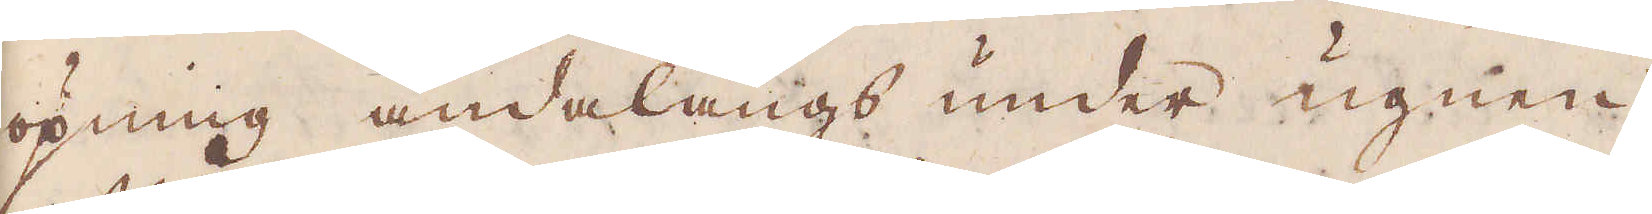öpning ändalångs under ugnen
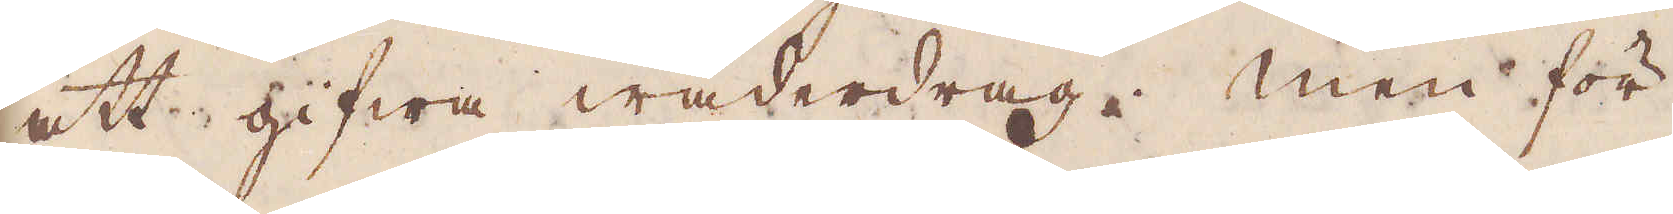att gifwa wäderdrag. Men för
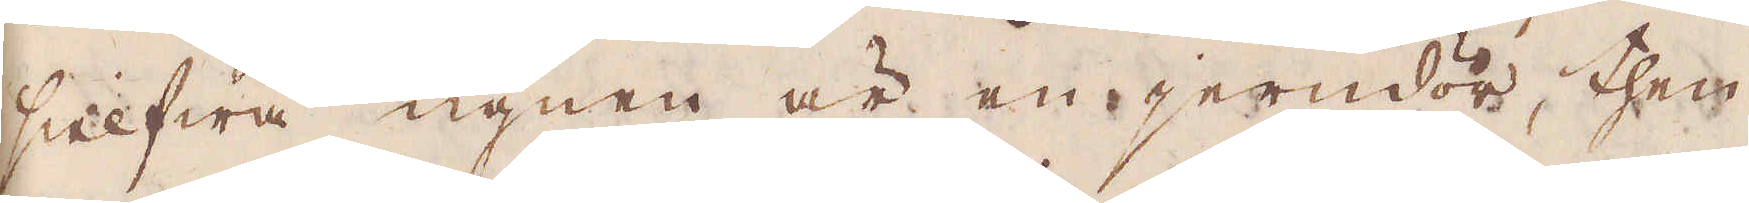sielfwa ugnen är en jerndör, then
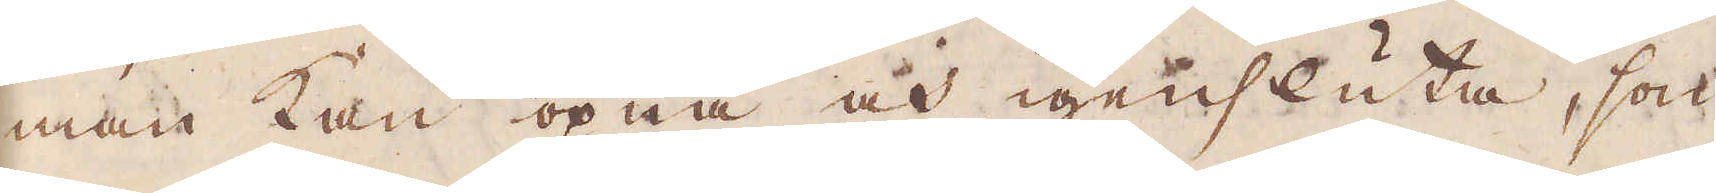man kan öpna och igensluta, som
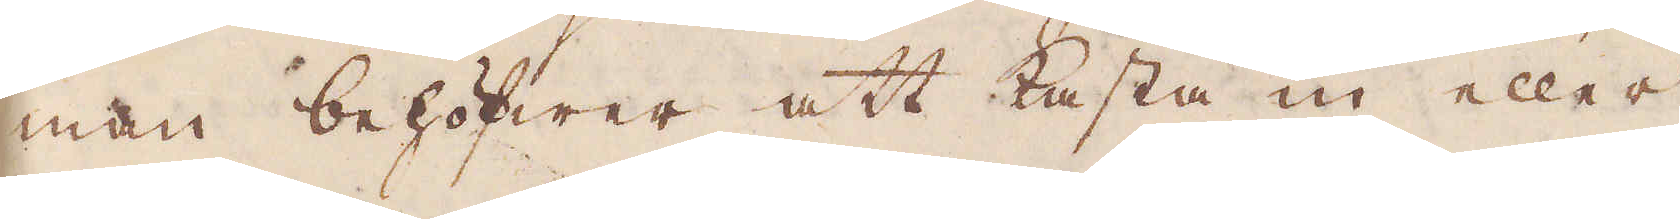man behöfwer att kasta in eller
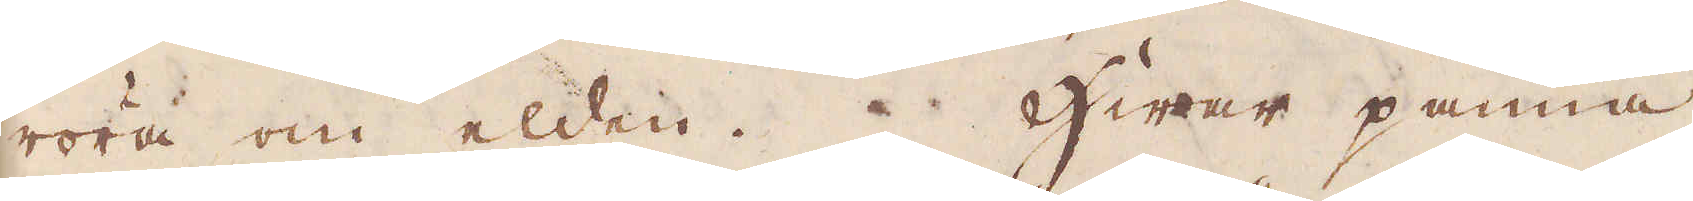röra om elden. Hwar panna
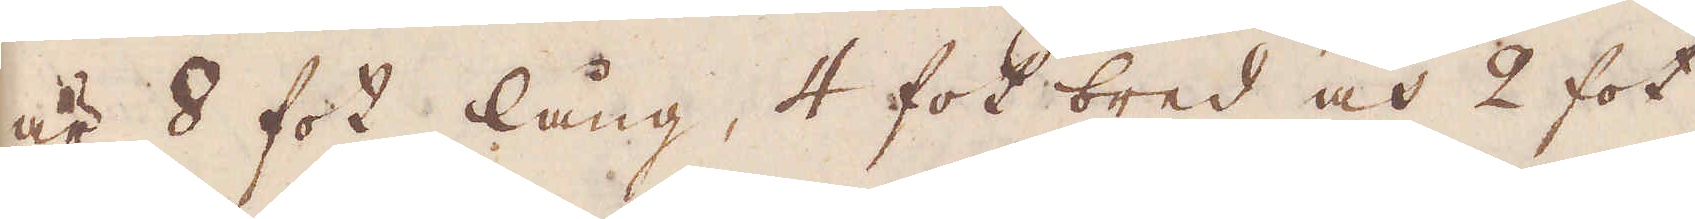är 8 fot lång, 4 fot bred och 2 fot
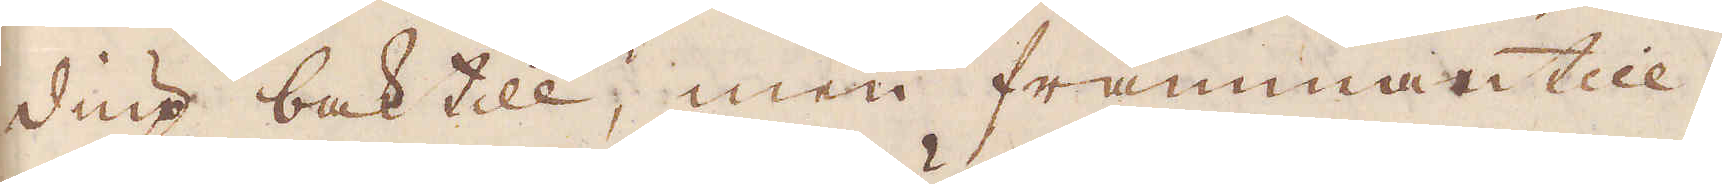diup baktill, men frammantill
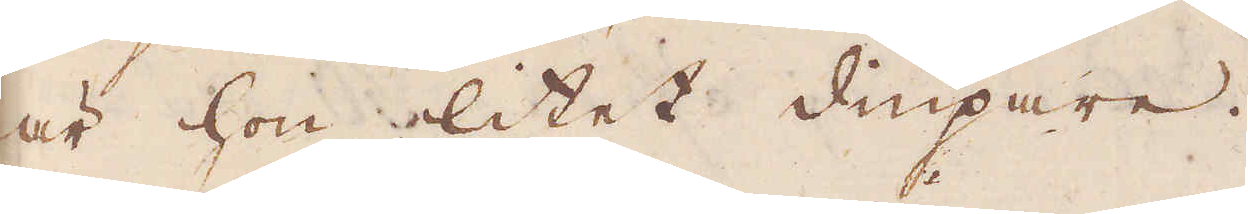är hon litet diupare.
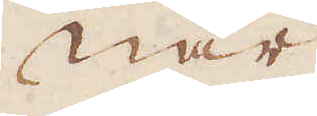När
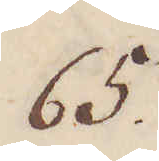65.
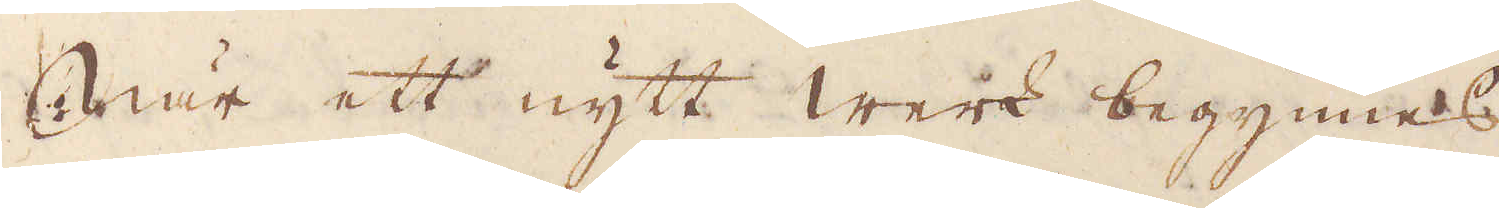När ett nytt werk begynnes,
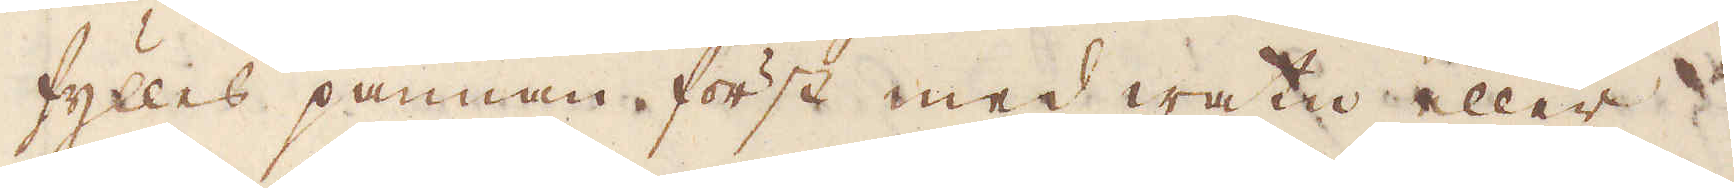fylles pannan först med watn eller
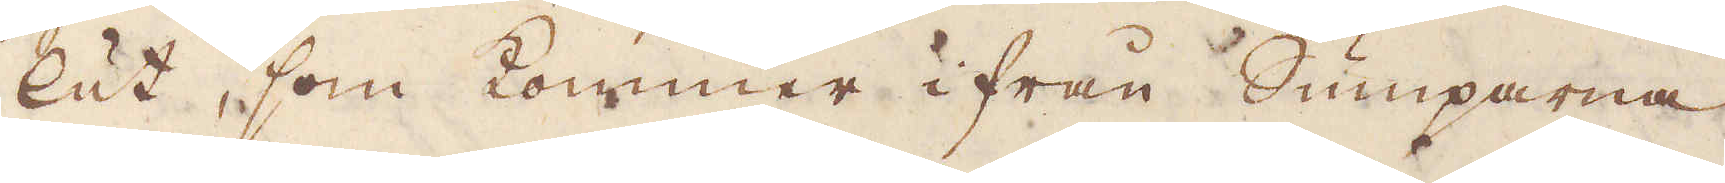lut, som kommer ifrån Sumparna
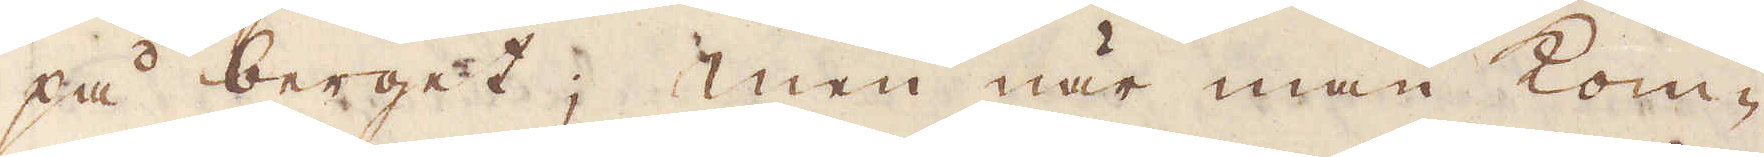på berget; men när man kom-
